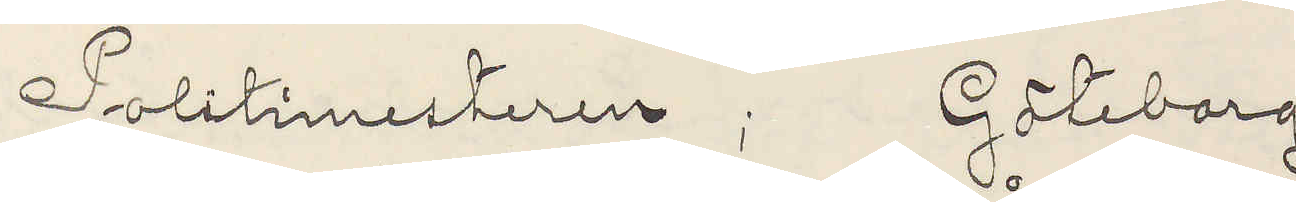Politimesteren; Göteborg
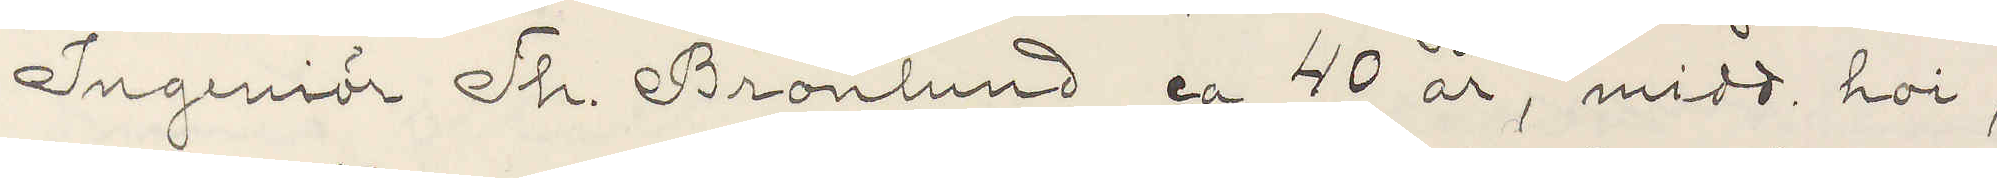Ingeniör Th. Brönlund ca 40 år, midd. hoi,
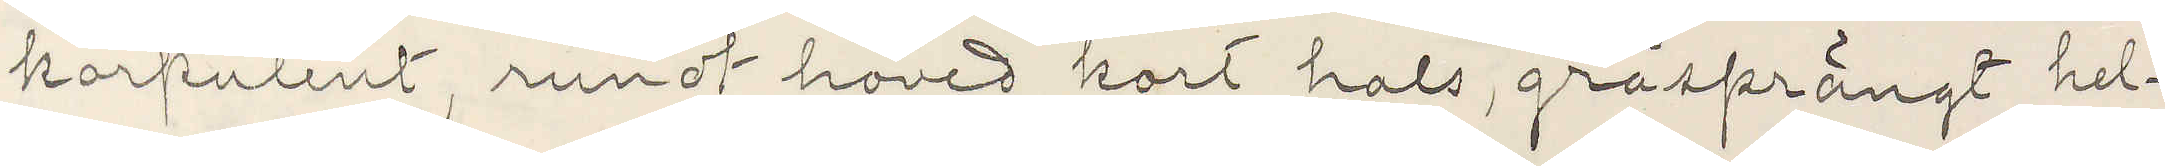korpulent, rundt hoved kort hals, gråsprängt hel¬
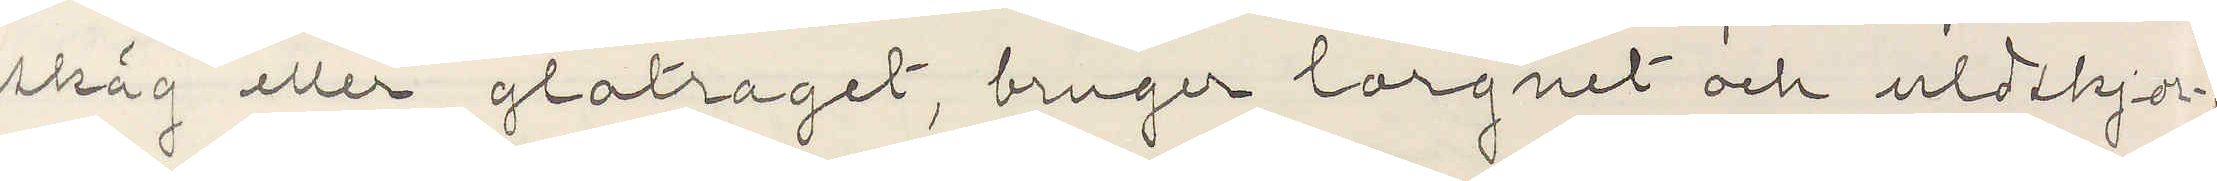skäg eller glatraget, bruger lorgnet och uldskjor¬
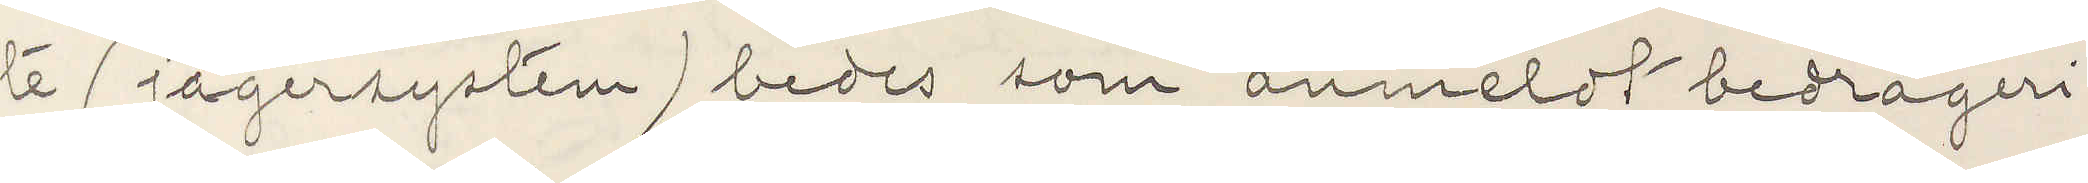te (jägersystem) bedes som anmeldt bedrageri
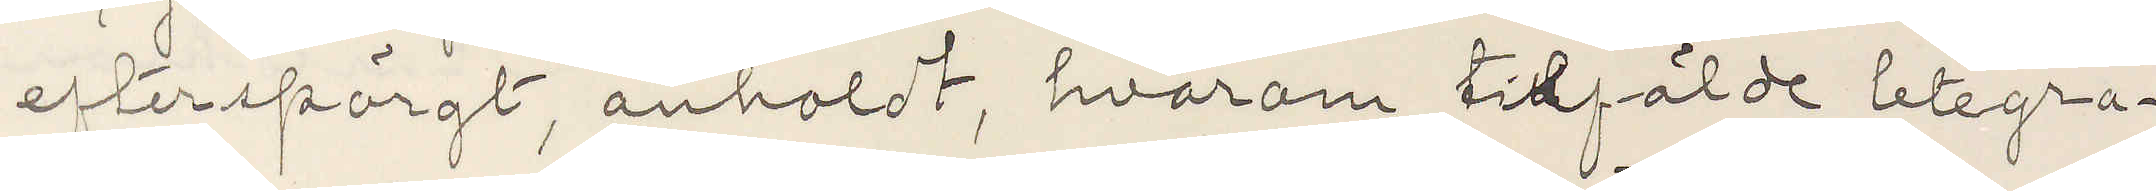efterspörgt, anholdt, hvarom tilfälde telegra¬
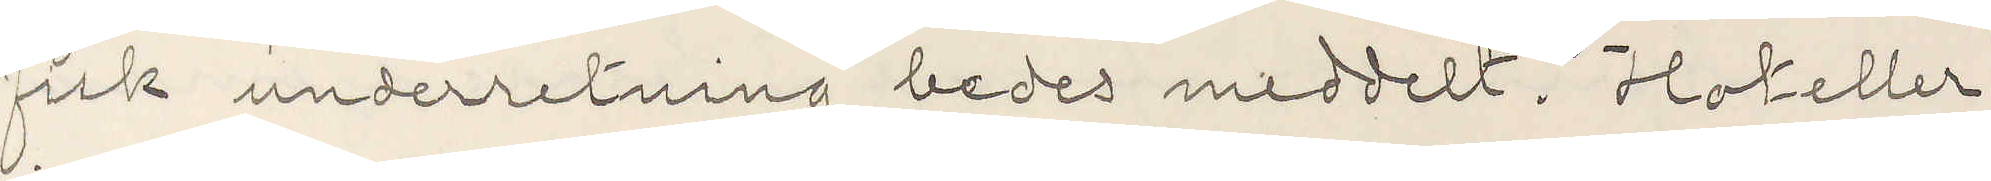fisk underretning bedes meddelt. Hoteller
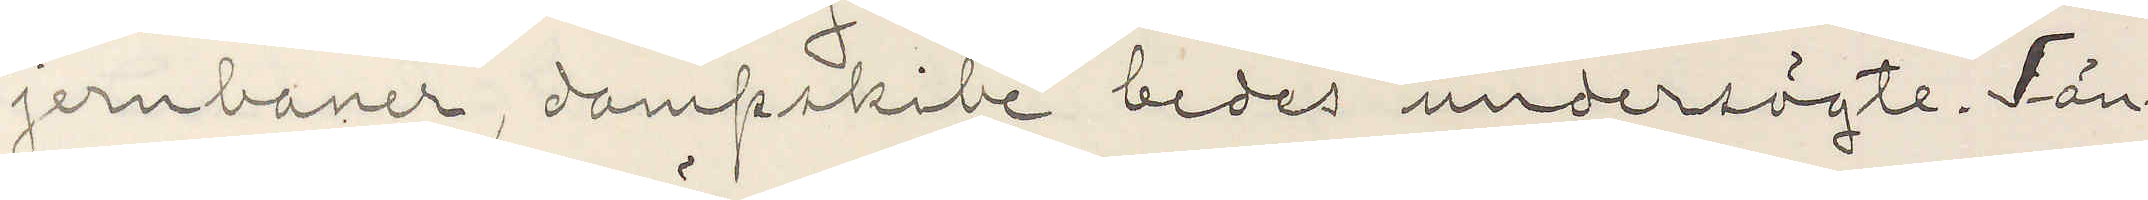jernbaner, dampskibe bedes undersögte. Tän¬
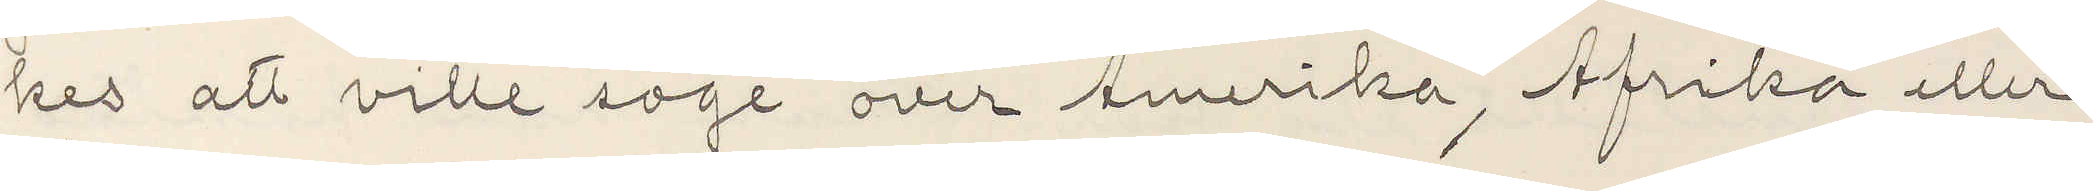kes att ville söge over Amerika, Afrika eller
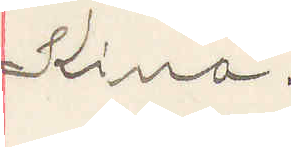Kina.
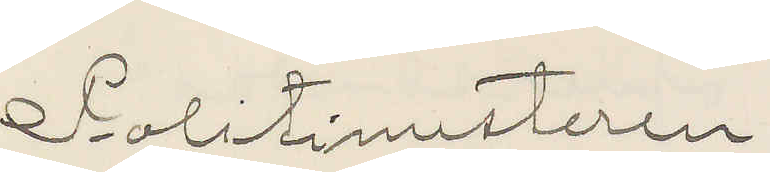Politimesteren
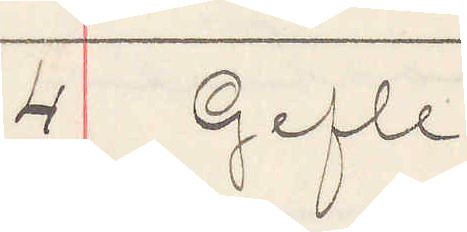4 Gefle
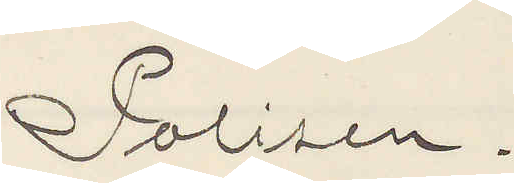Polisen. 
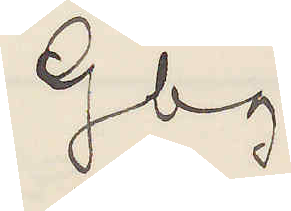Gbg.
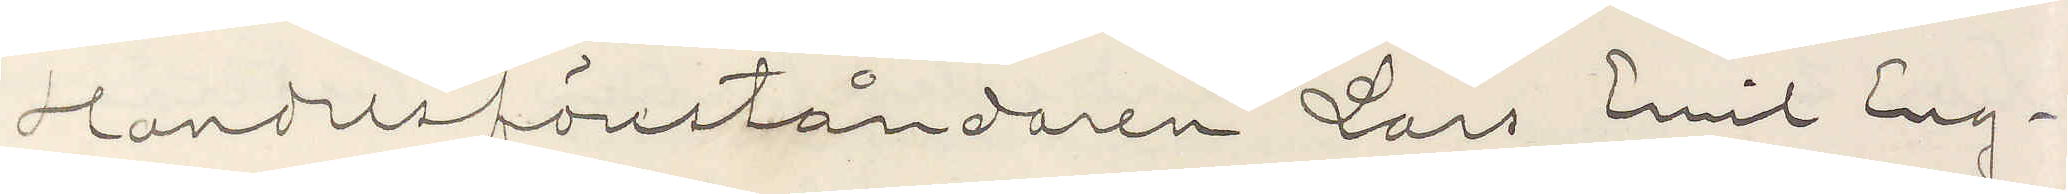Handelsföreståndaren Lars Emil Eng¬
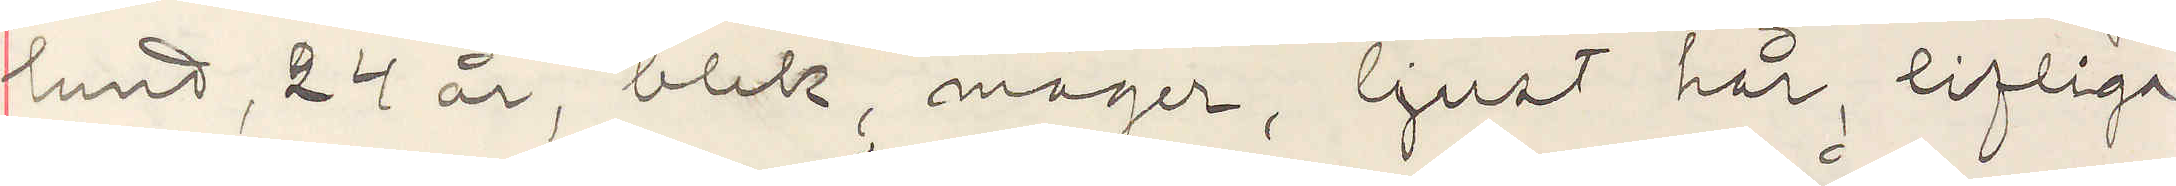lund, 24 år, blek, mager, ljust hår, lifliga
